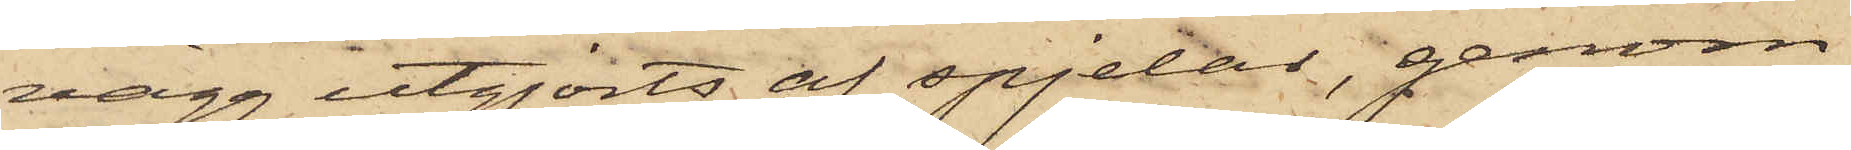vägg utgjorts af spjelor, genom
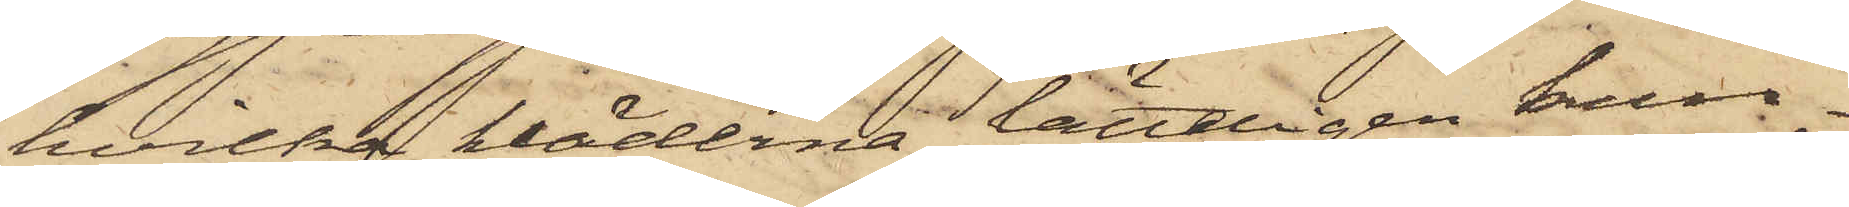hvilka kläderna lätteligen kun¬
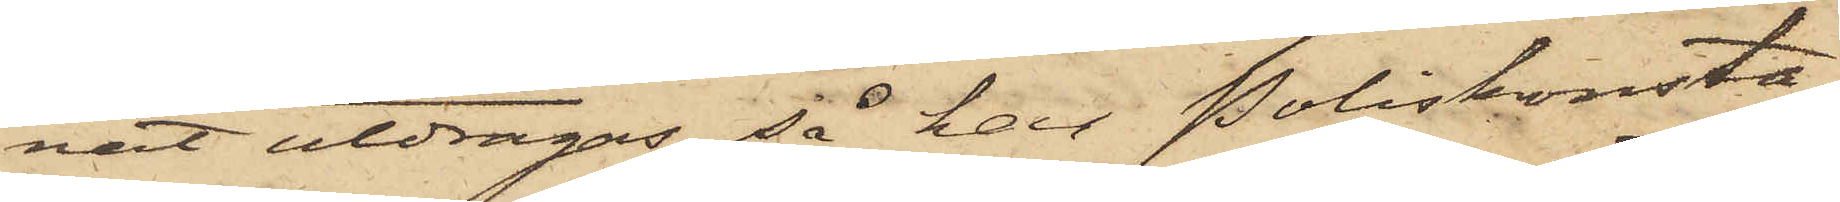nat utdragas, så har Poliskonsta¬
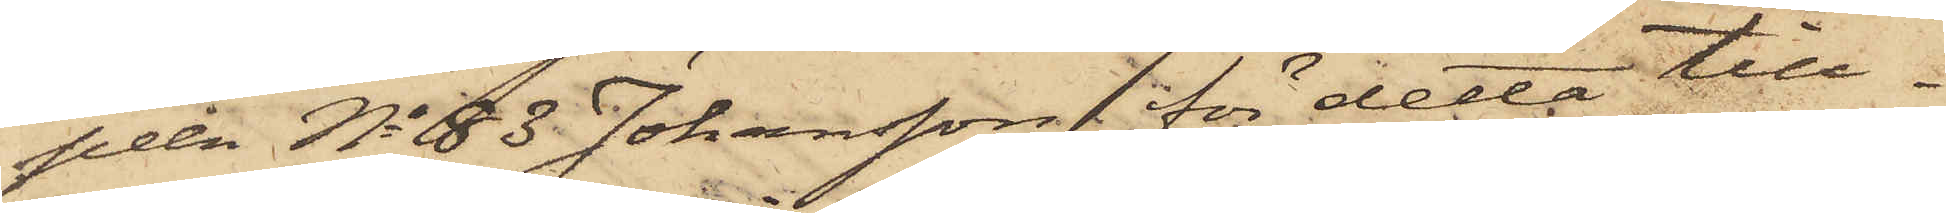peln No 83 Johansson för detta till¬
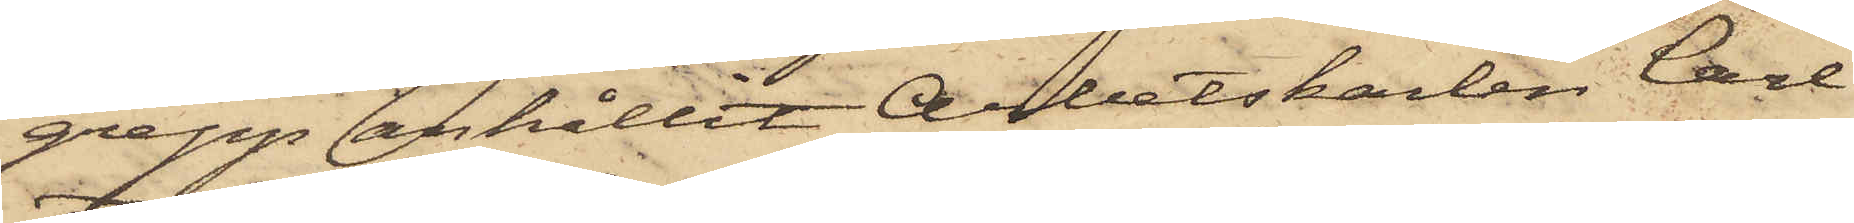grepp anhållit Arbetskarlen Carl
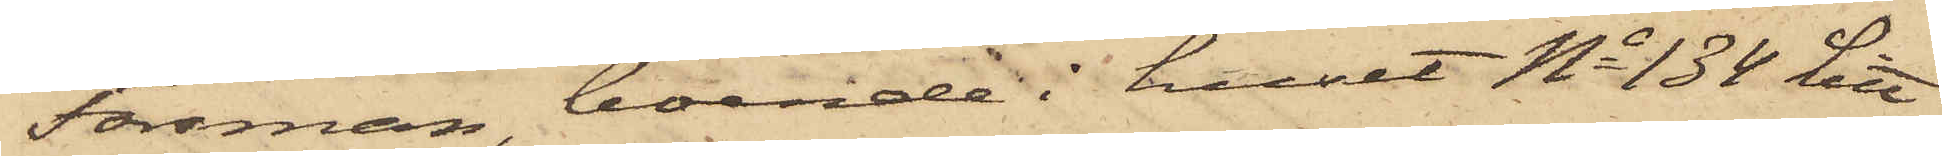Forsman, boende i huset No 134 Litt
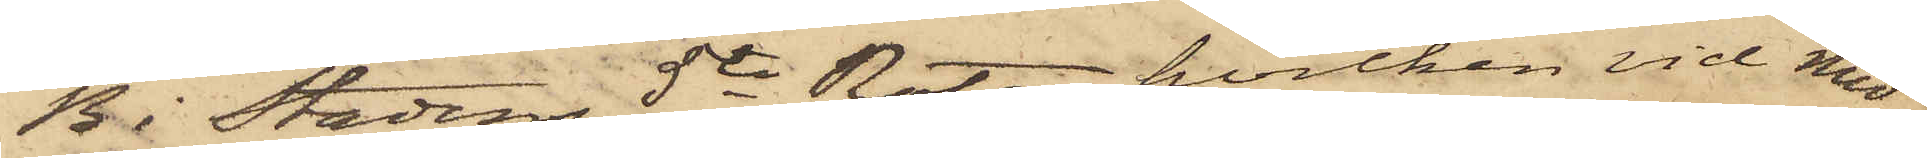B i Stadens 5te Rote, hvilken vid med
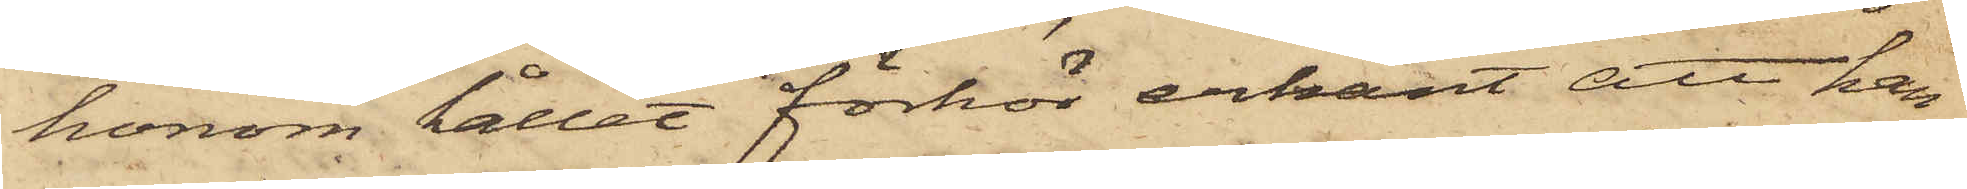honom hållet förhör erkänt att han
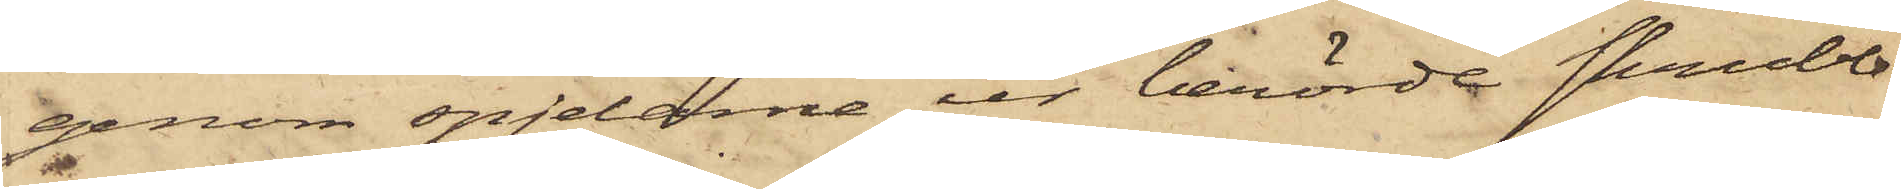genom spjelorna ur berörde skrubb
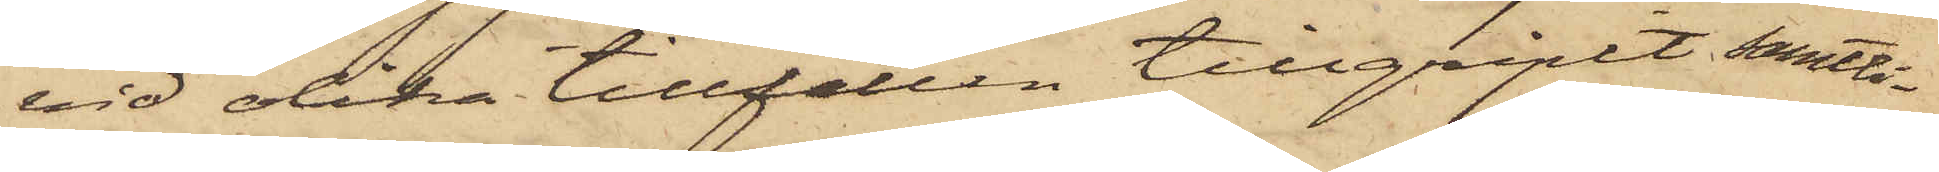vid olika tillfällen tillgripit samtli¬
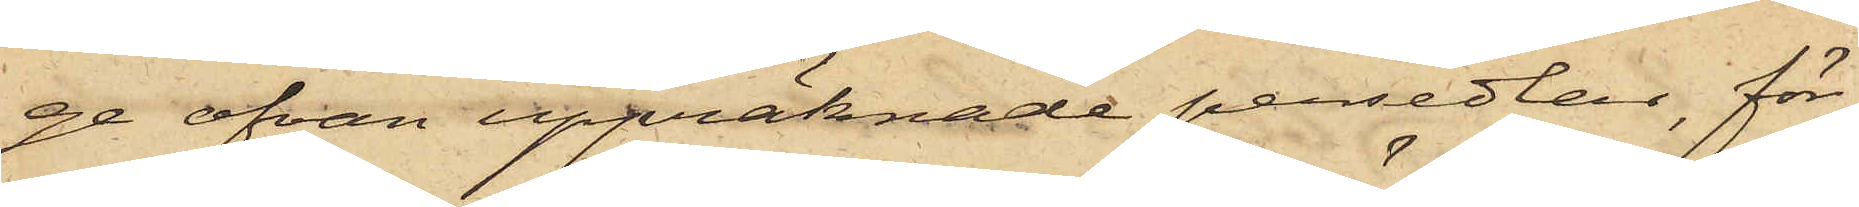ge ofvan uppräknade persedlar, för¬
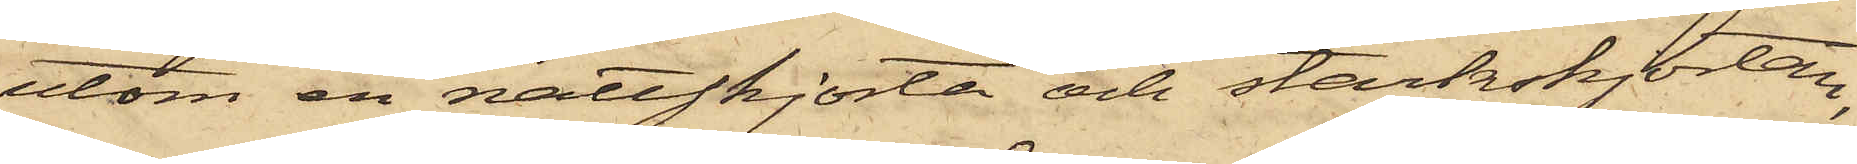utom en nattskjorta och stärkskjortan,
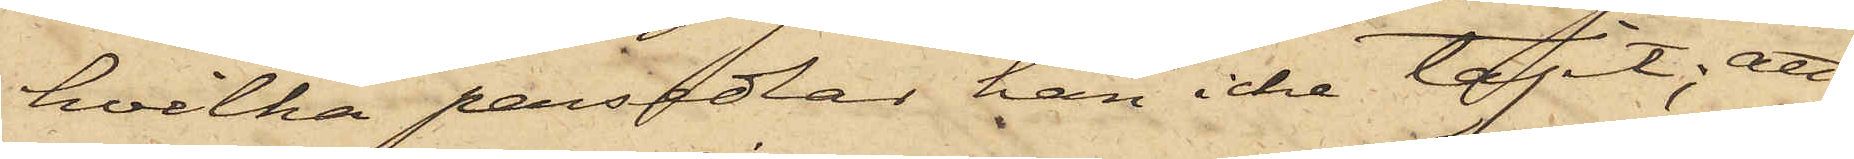hvilka persedlar han icke tagit; att
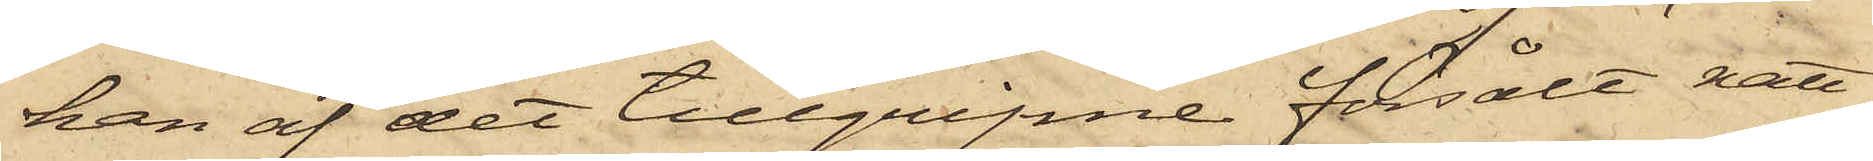han af det tillgripne försålt natt¬
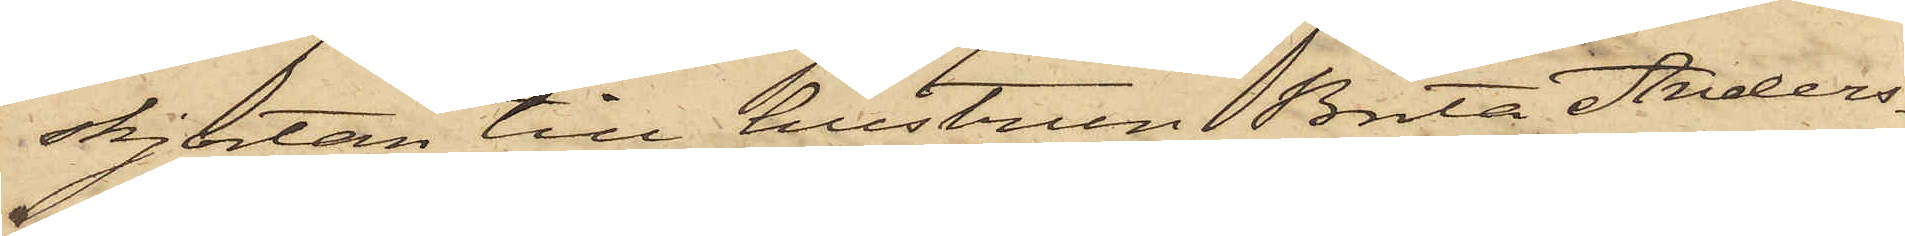skjortan till hustrun Brita Anders¬
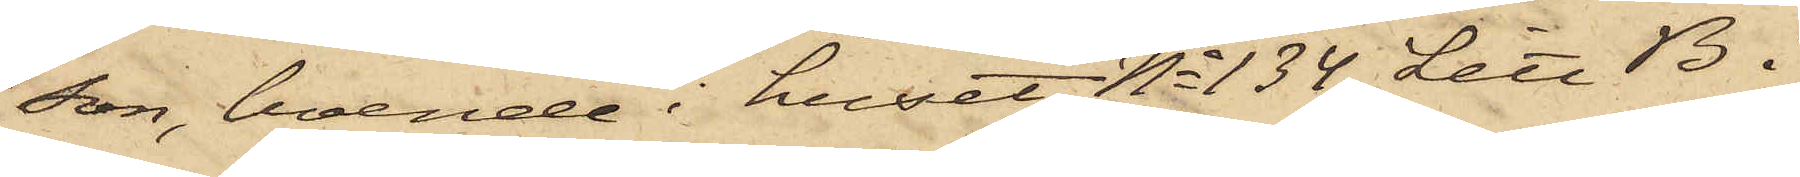son, boende i huset No 134 Litt B i
